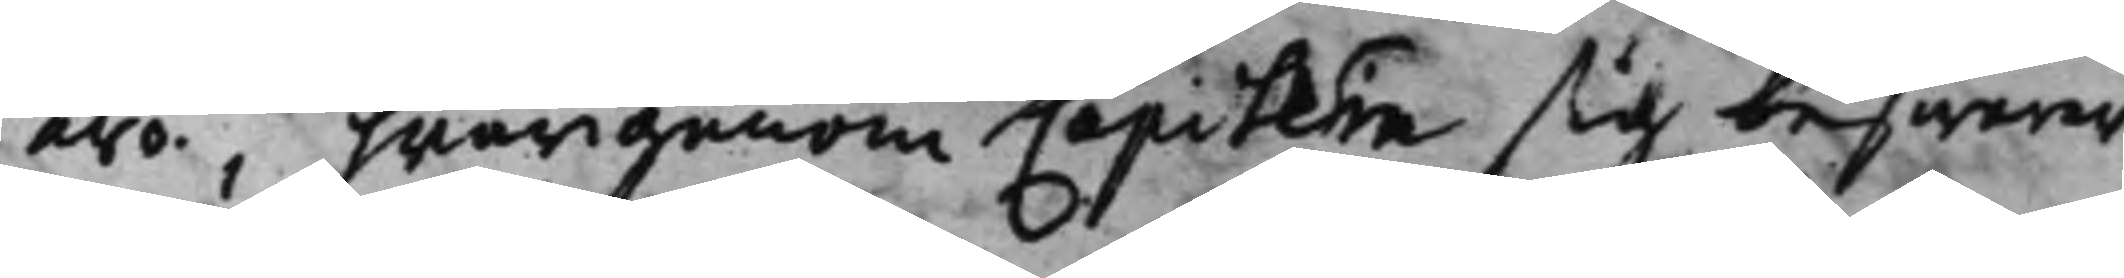äro, hwarigenom Capitein sig beswärer
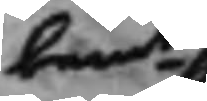bemte
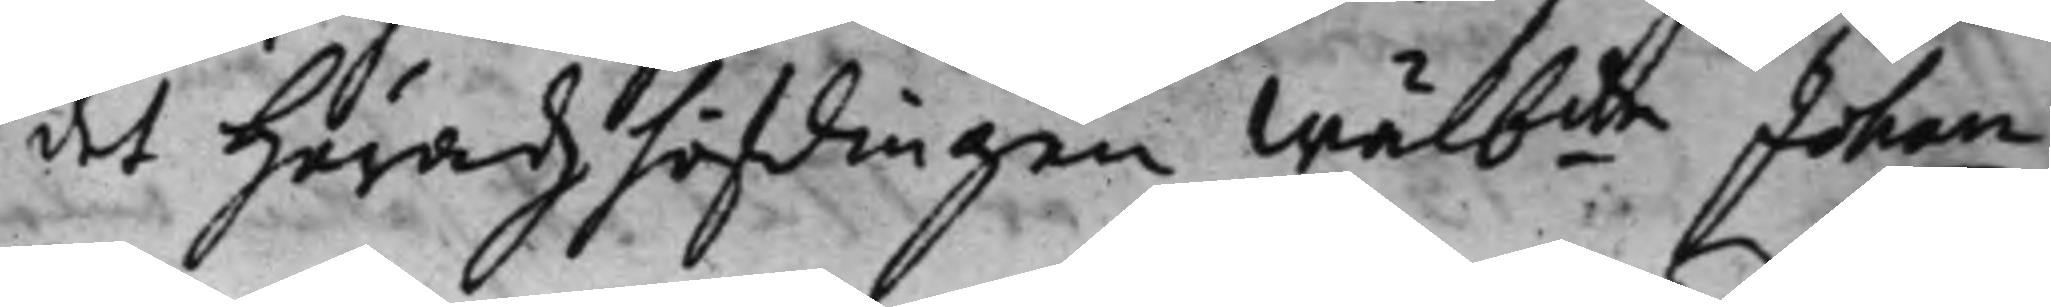det Häradzhöfdingen Wälbde Johan 
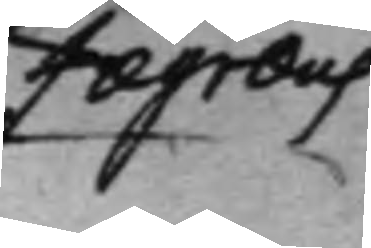Fægræus
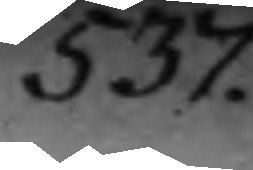537.
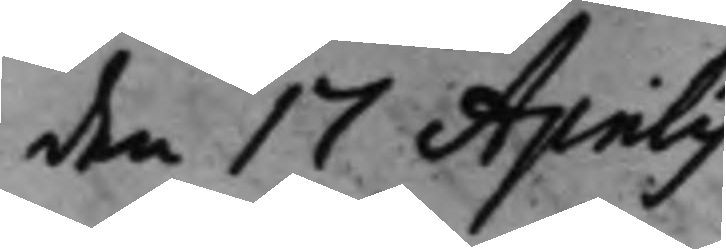den 17 Aprilis
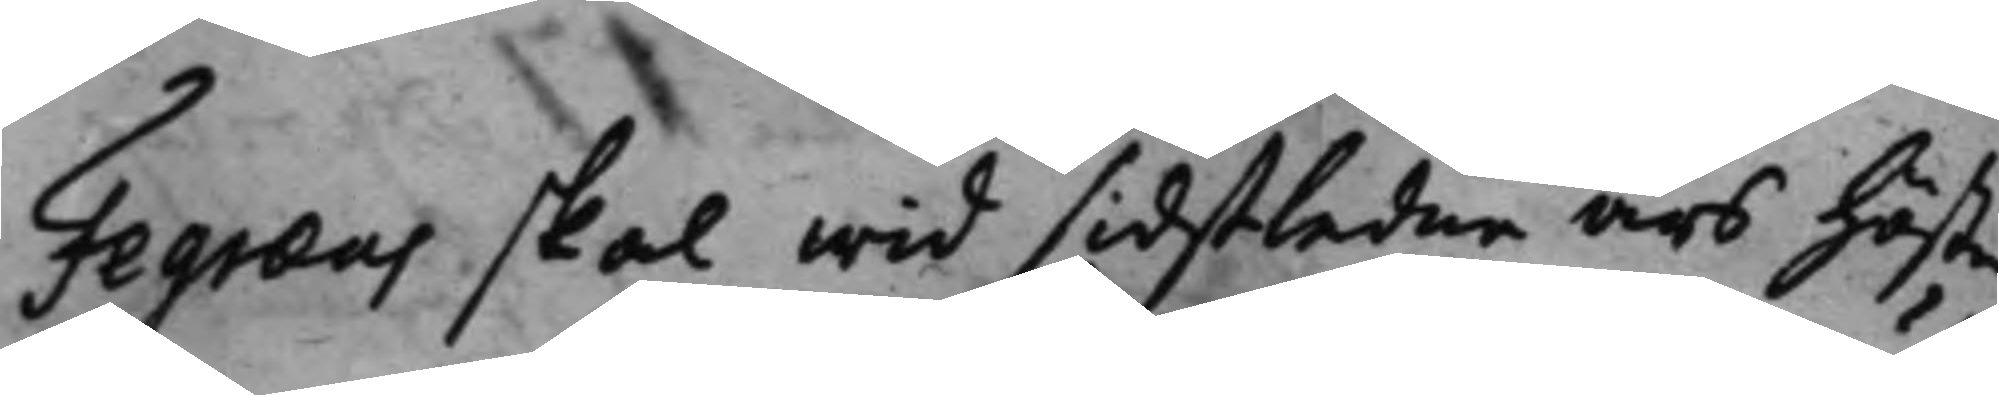Fegræus skall wid sidstledne års höste¬
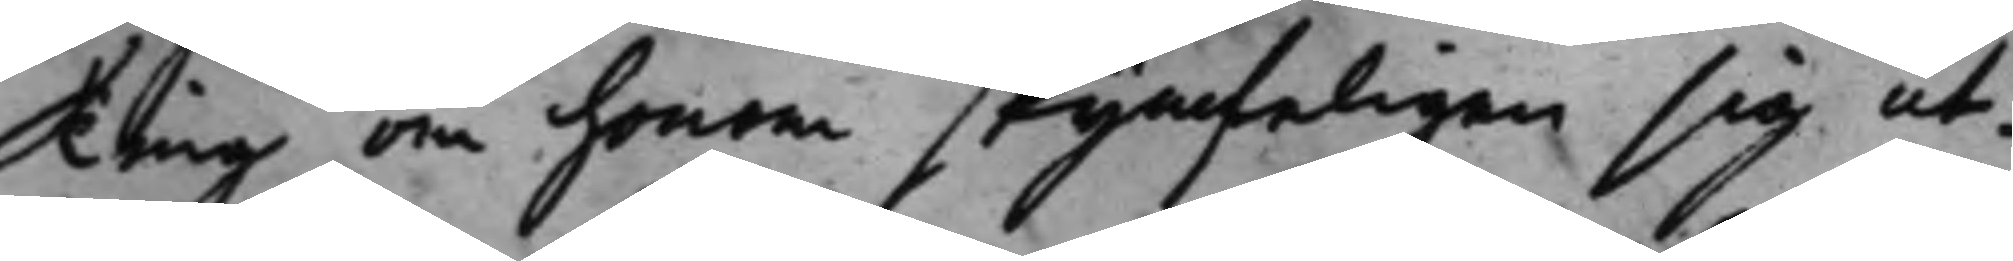Ting om honom skynfeligen sig ut¬
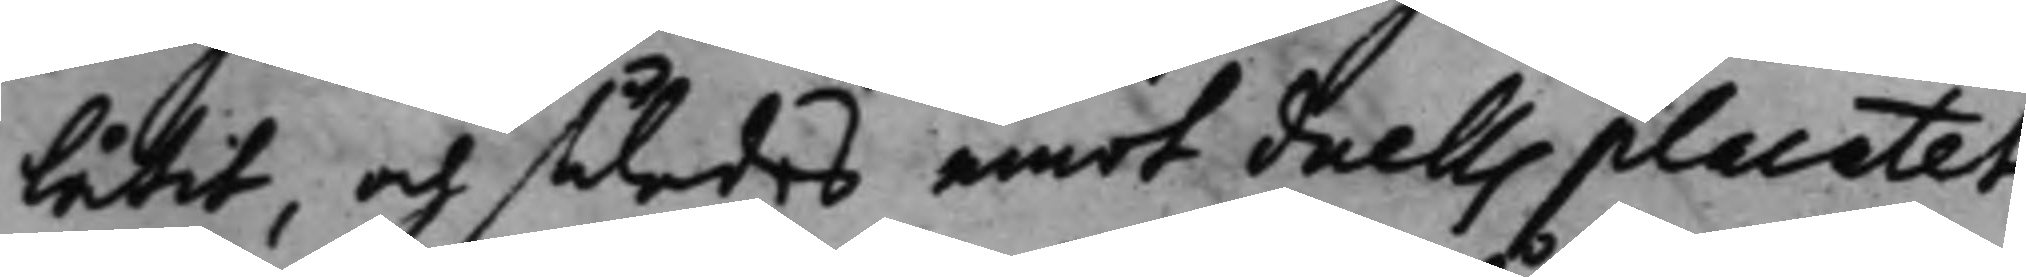låtit, och således emot duellsplacatet
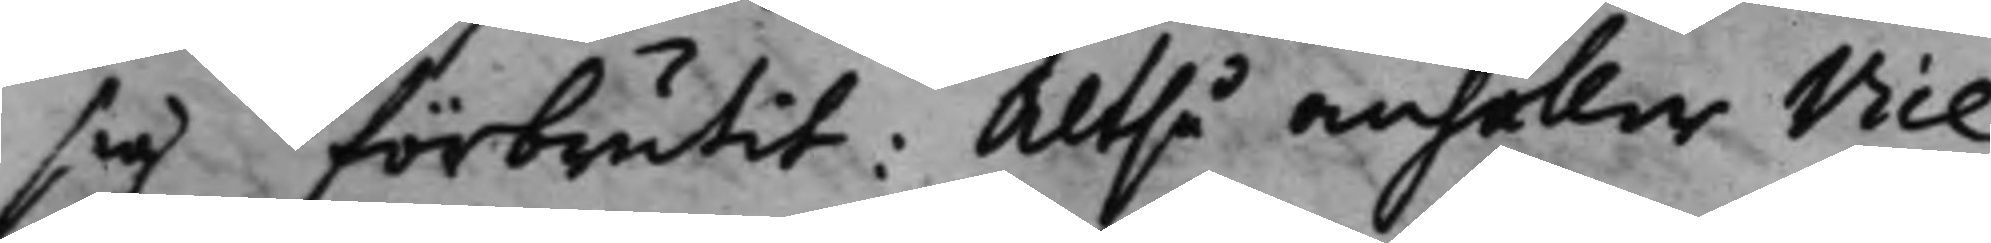sig förbrutit: Altså anhåller Vice
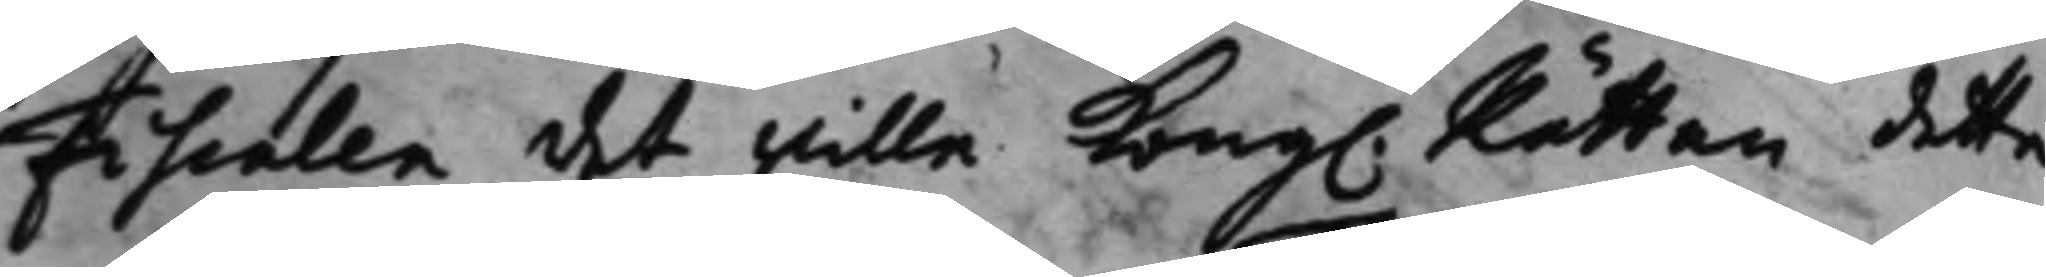Fiscalen det wille Kong. Rätten detta 
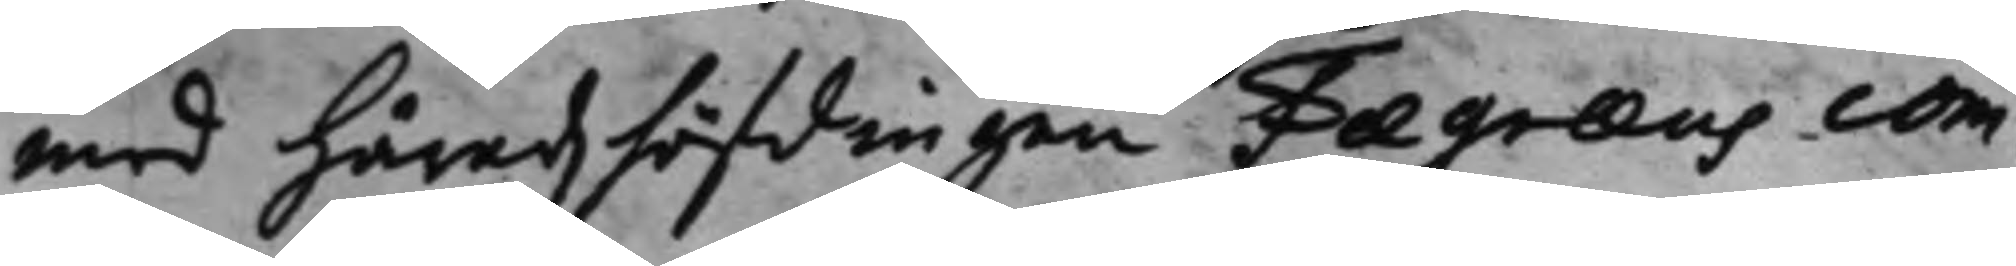med Häradzhöfdingen Fægræus com¬
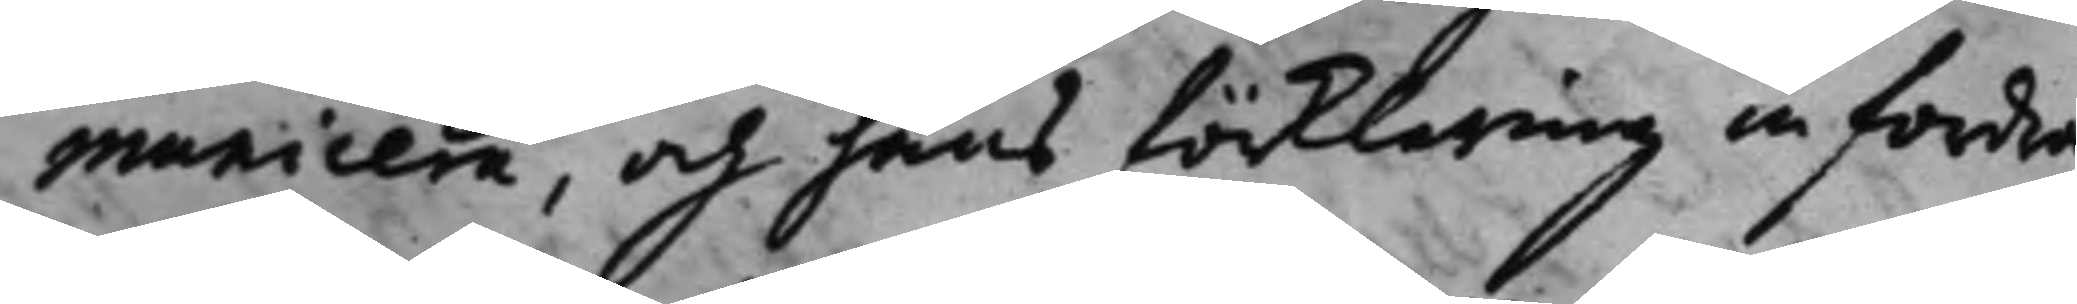municera, och hans förklaring infordra
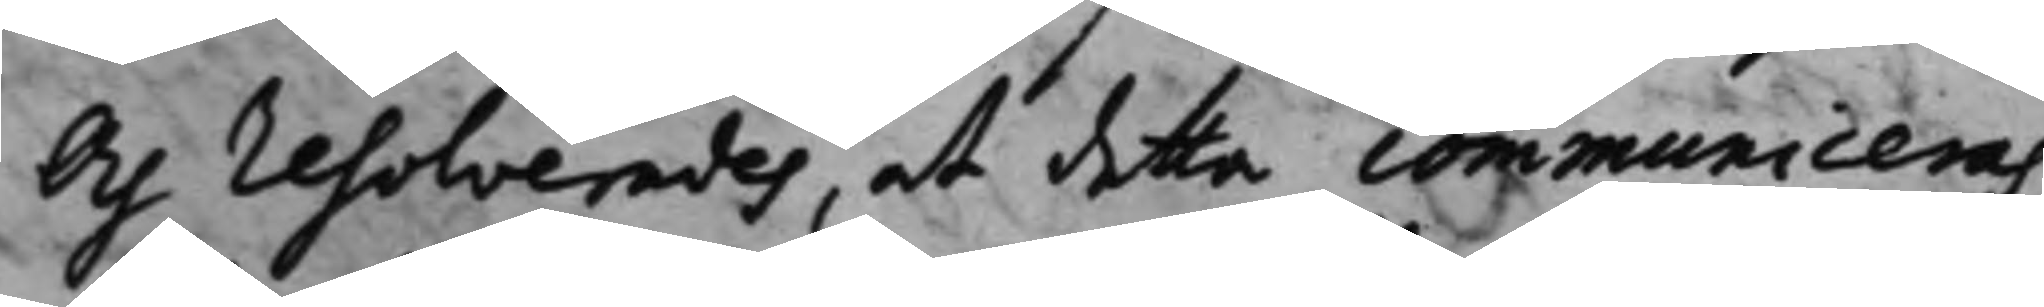Och resolverades, at detta communiceras
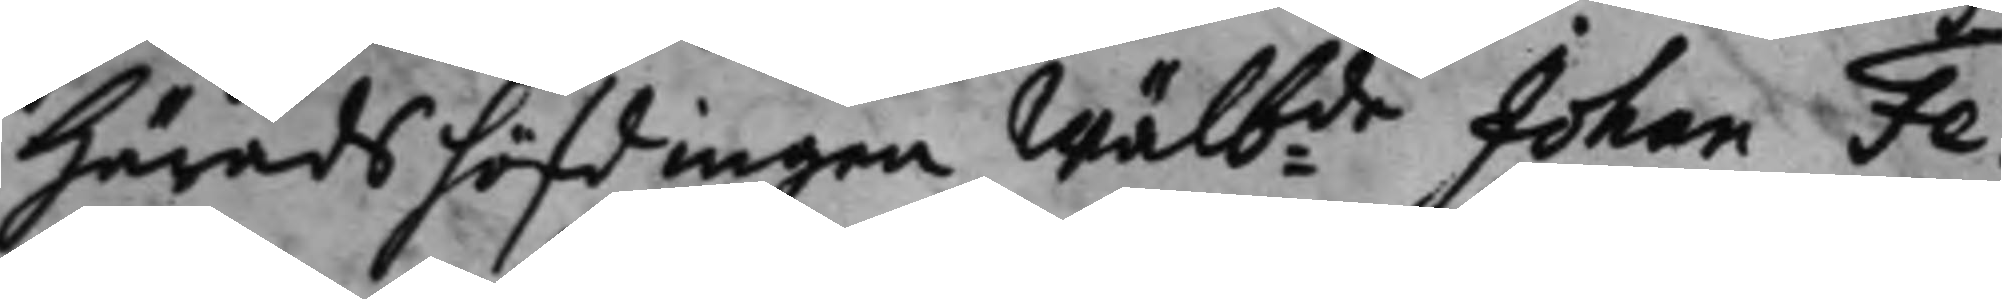Häradshöfdingen Wälbde Johan Fe¬ 
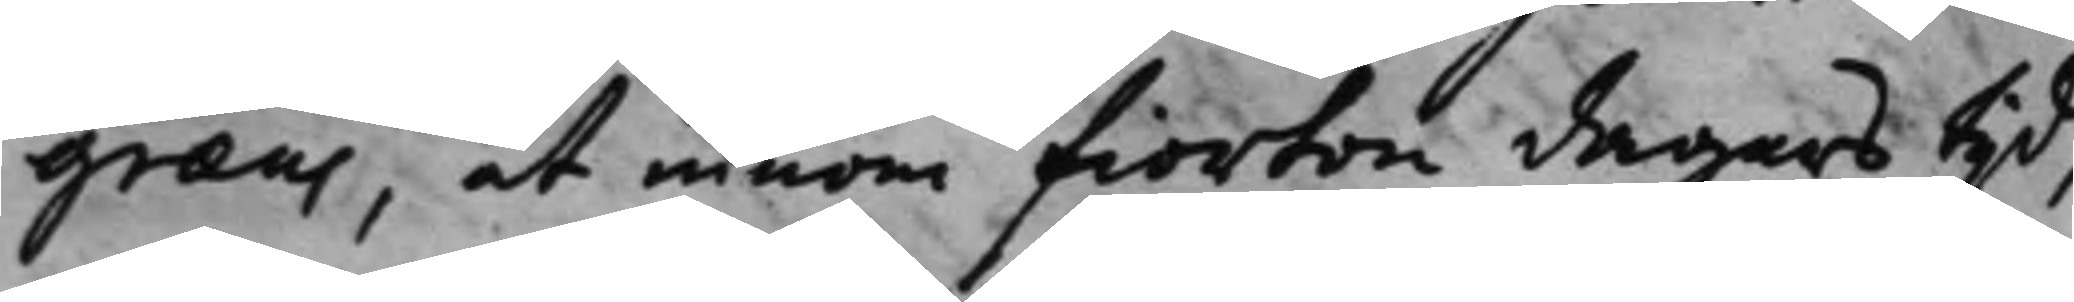græus, at innom fiorton dagars tijd,
